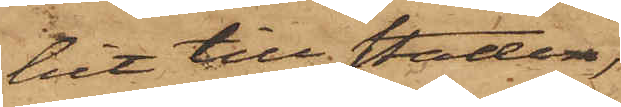mit hit till staden,
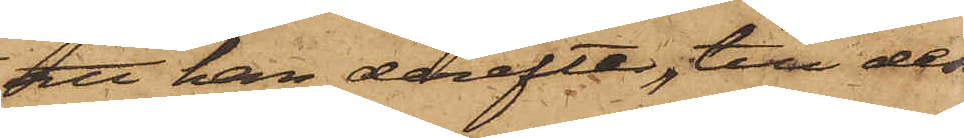att han derefter, till dess
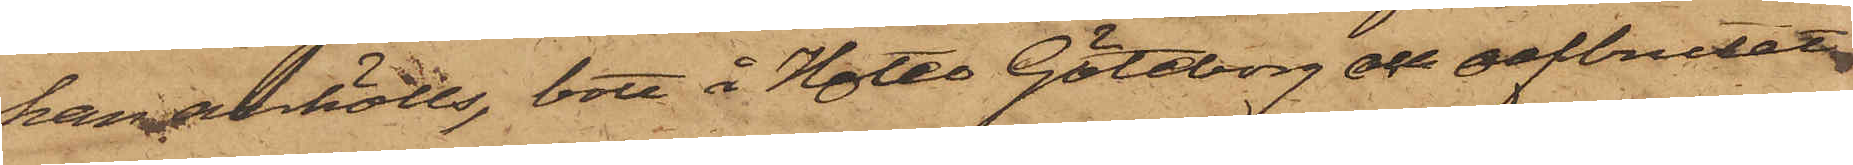han anhölls, bott å Hotel Göteborg och oafbrutet
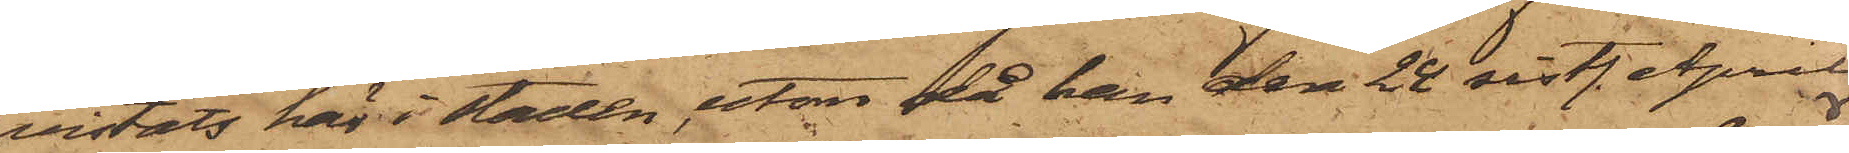vistats här i staden utan då han den 24 sistl. April
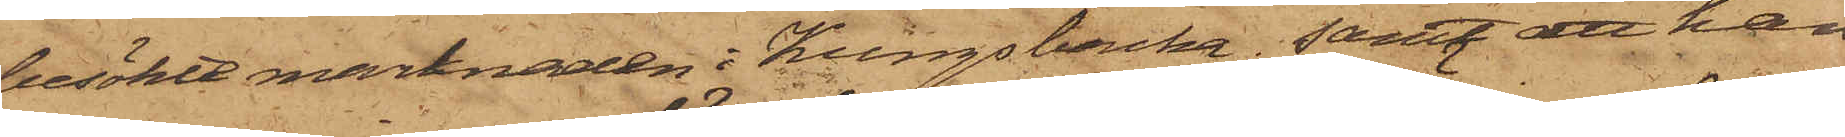besökte marknaden i Kungsbacka; samt att han
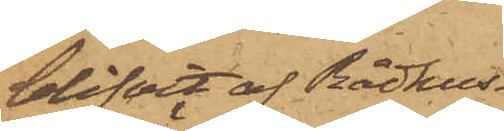blifvit af Rådhus¬
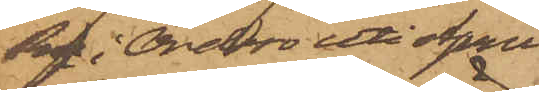Rn i Örebro uti April
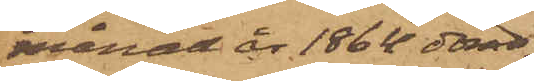månad år 1864 dömd
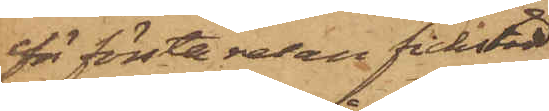för första resan fickstöld
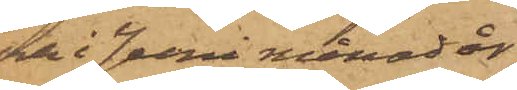och i Juni månad år
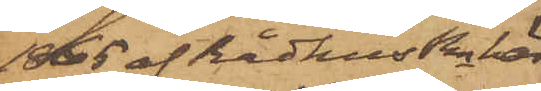1865 af RådhusRn här
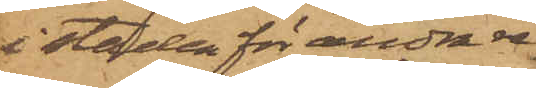i staden för andra re¬
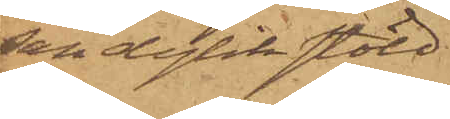san dylik stöld.
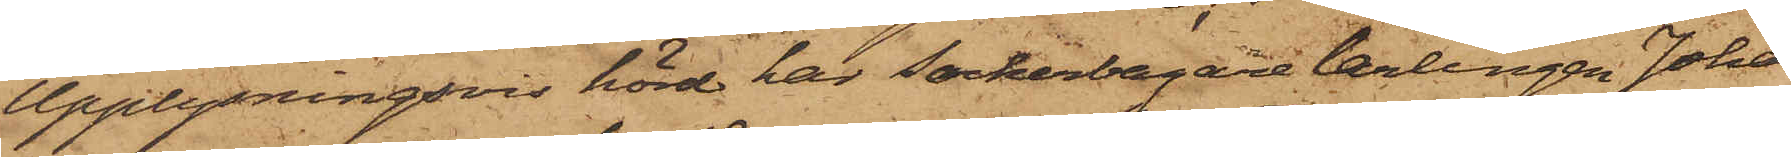Upplysningsvis hörd har Sockerbagarelärlingen Johan
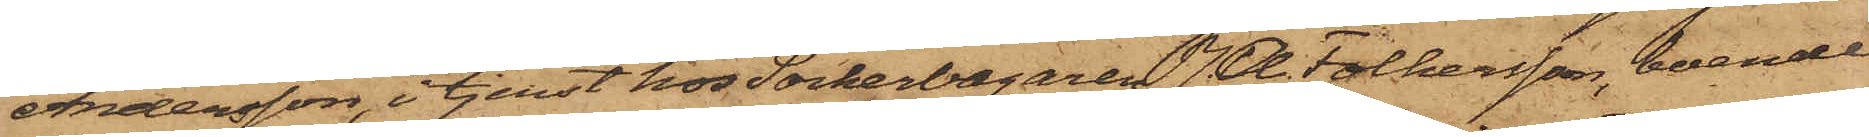Andersson, i tjenst hos Sockerbagaren J. A. Folkesson, boende
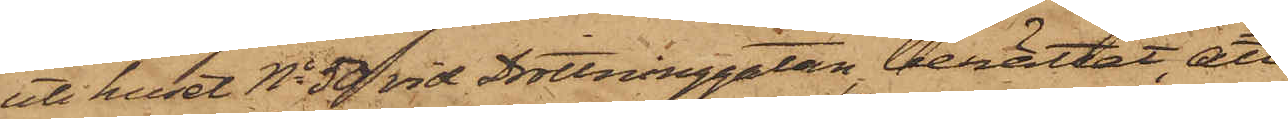uti huset No 50 vid Drottninggatan berättat, att
